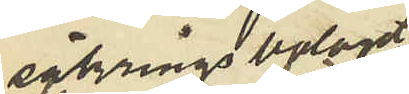säkringsbolaget
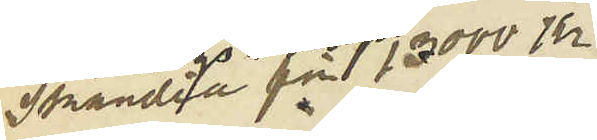Skandia för 13000 kr
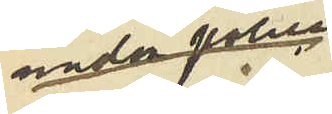under polis
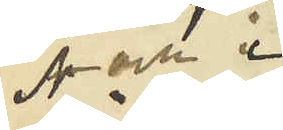A och i
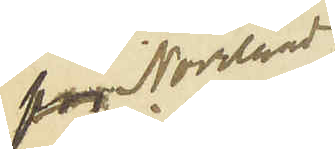Norrland
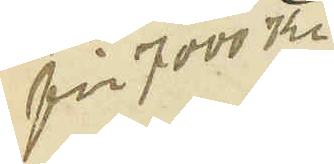för 7000 kr
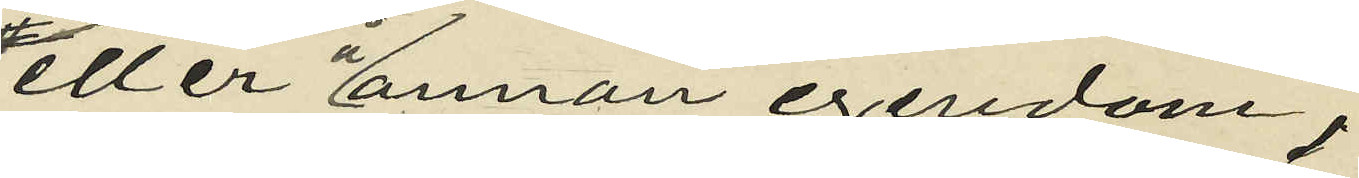eller å annan egendom,
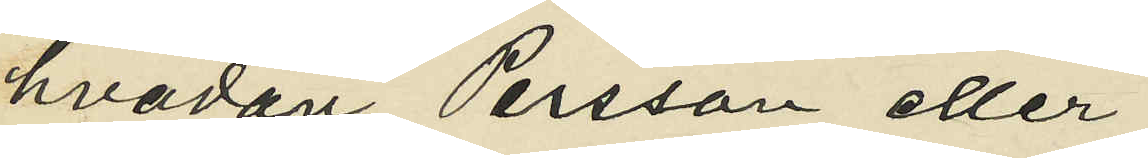hvadan Persson eller
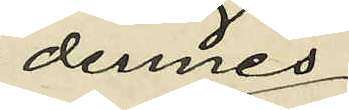dennes
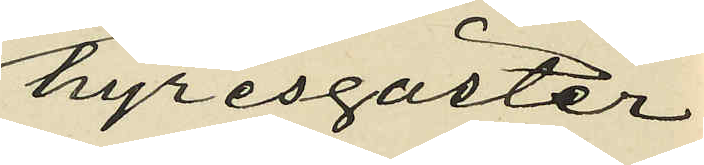hyresgäster
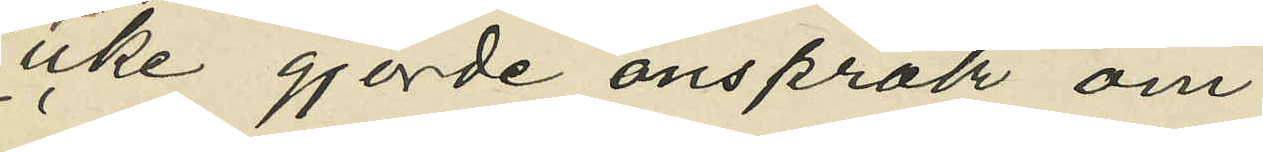icke gjorde anspråk om
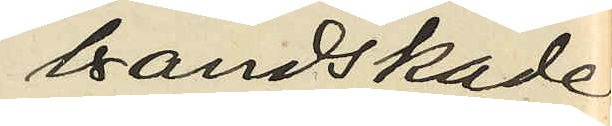brandskade
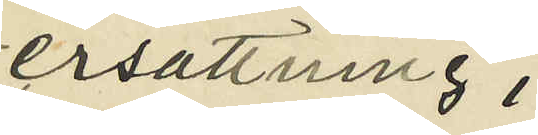ersättning;
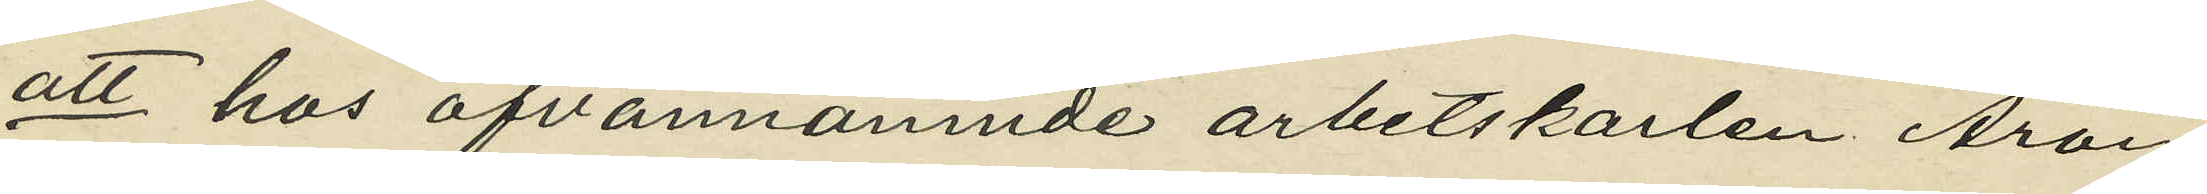att hos ofvannämnde arbetskarlen Arvid
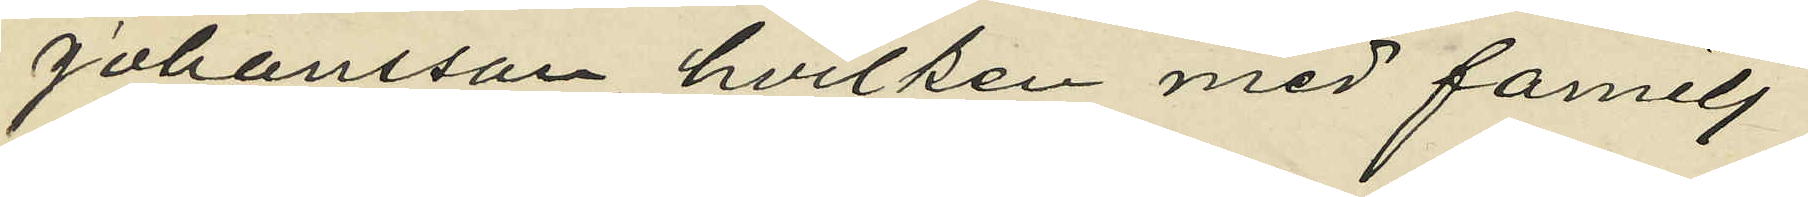Johansson hvilken med familj
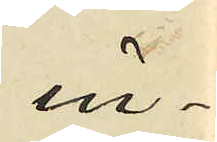in¬
